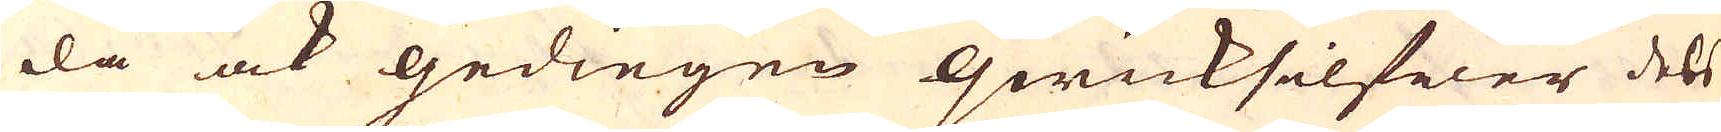då ock gediegen qwicksilfwer dels
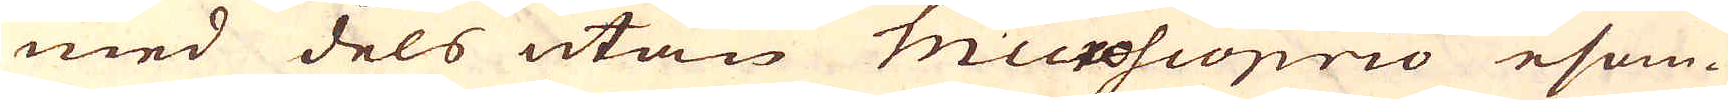med dels utan microscoprio esom-
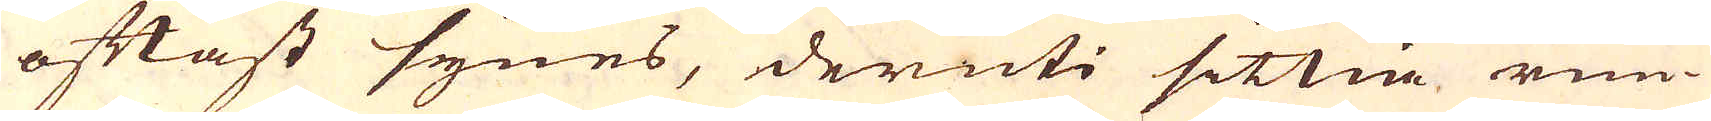oftast synes, deruti sittia run-
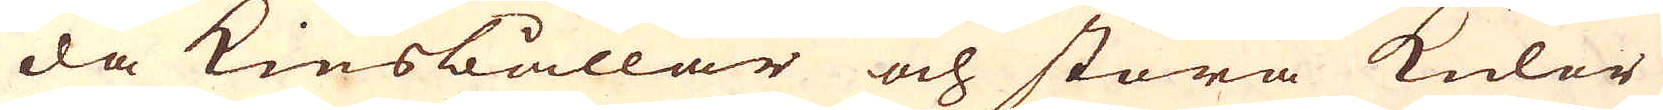da Kiesbållar och stora Kulor
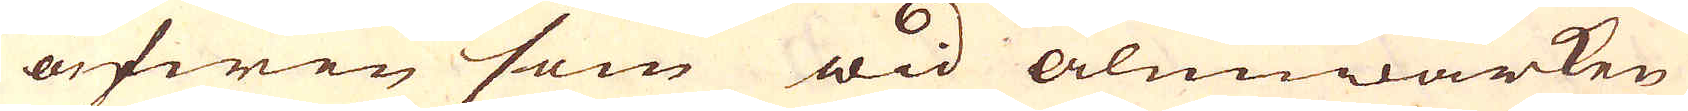äfwen som wid alunwärken
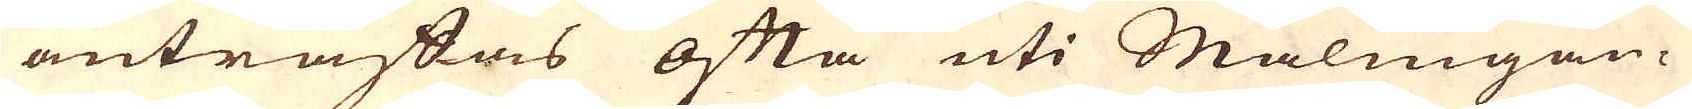anträftas ofta uti Malmgån-
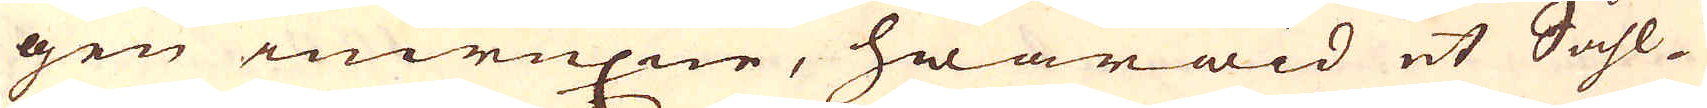gen inwuxne, hwarwid et Såhl-
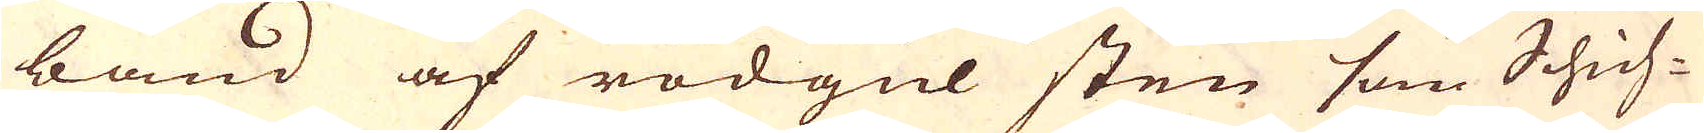band af rödgul sten som Schich-
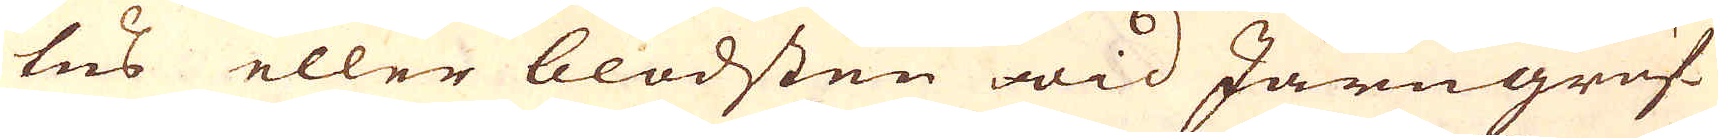tus eller blodsten wid Järngruf-
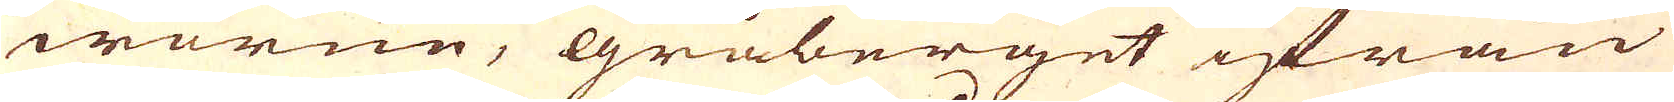worne, gråberget ifrån
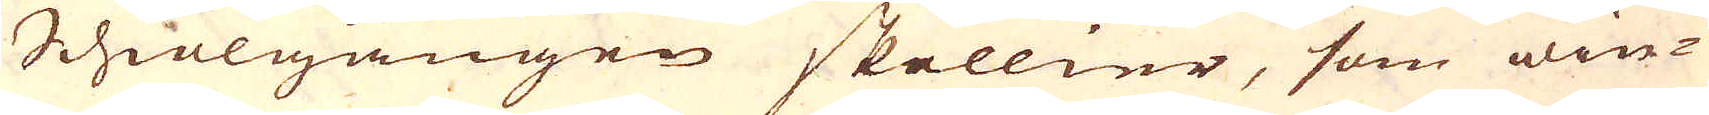Schiölgången skillier, som win-
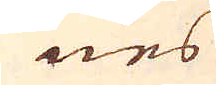nes
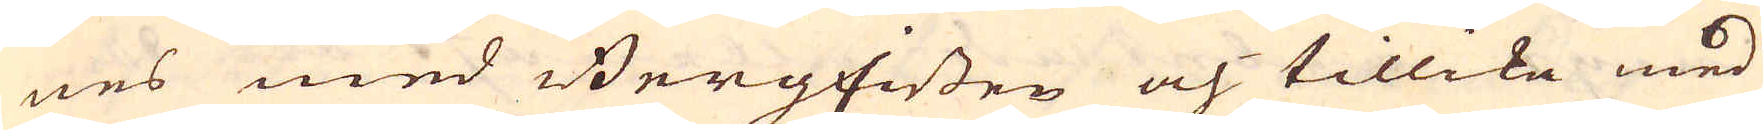nes med BergEissen och tillika med
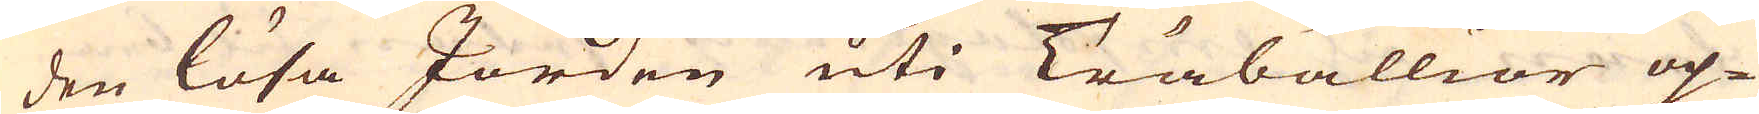den lösa Jorden uti Träbällior op-
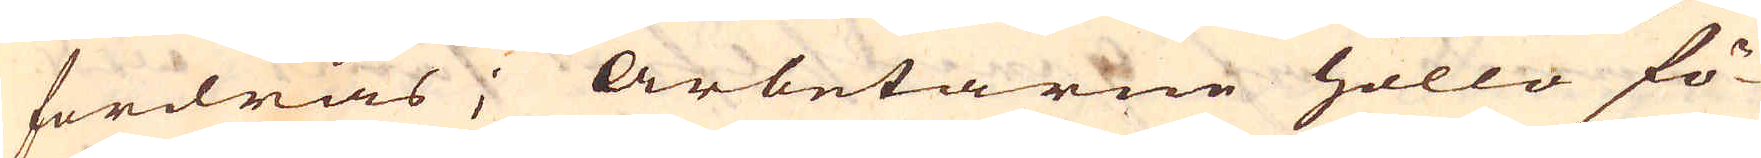fordras; Arbetarne höllo fö-
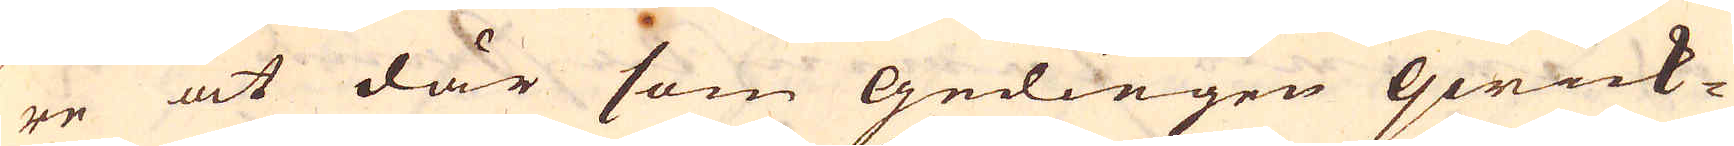re at där som gediegen qwick-
